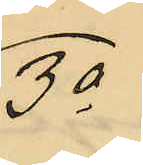3o
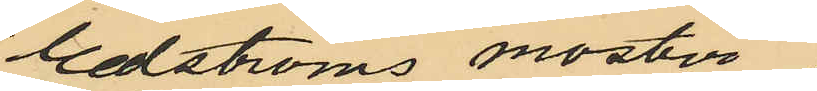Edströms moster
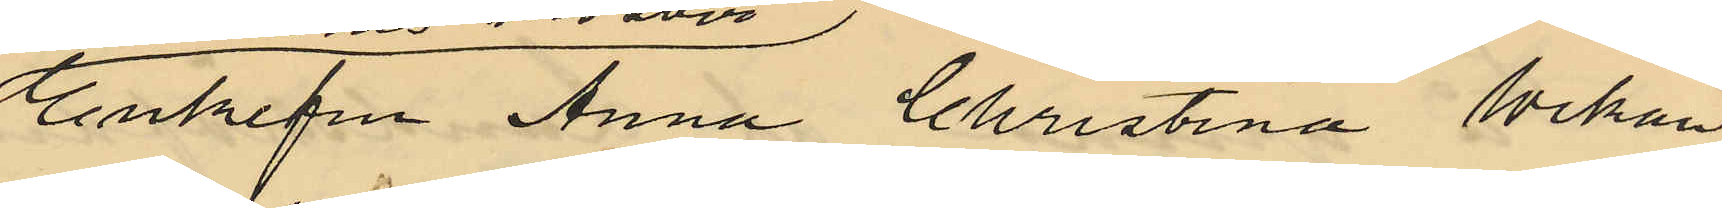Enkefru Anna Christina Wikan¬
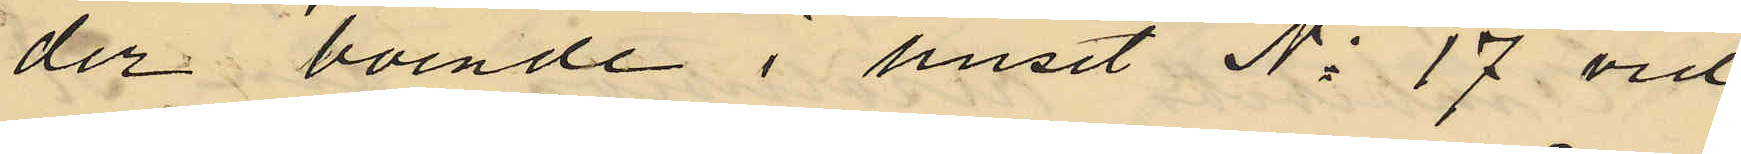der boende i huset No 17 vid
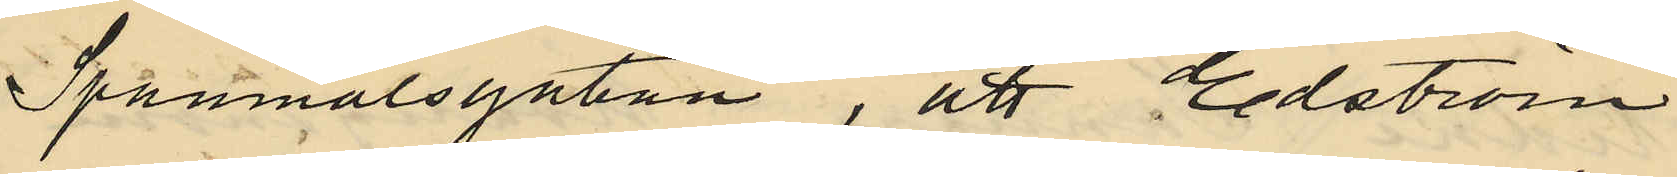Spanmålsgatan, att Edström
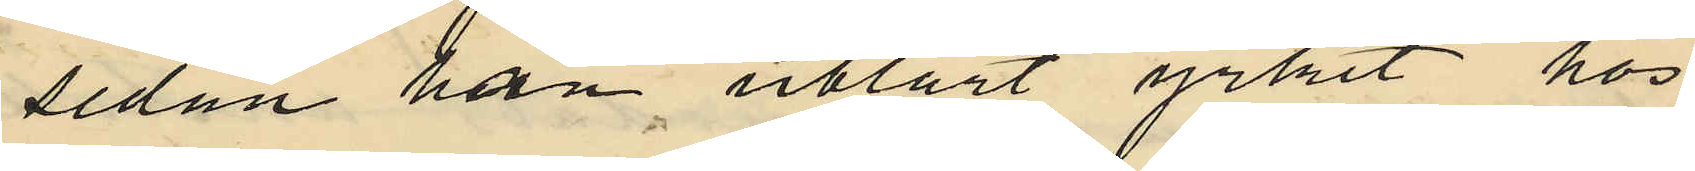sedan han utlärt yrket hos
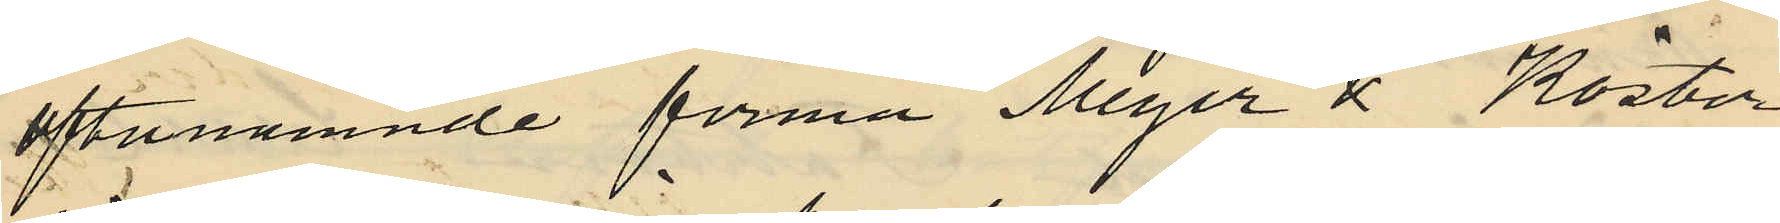oftanämnde firma Meyer & Köster
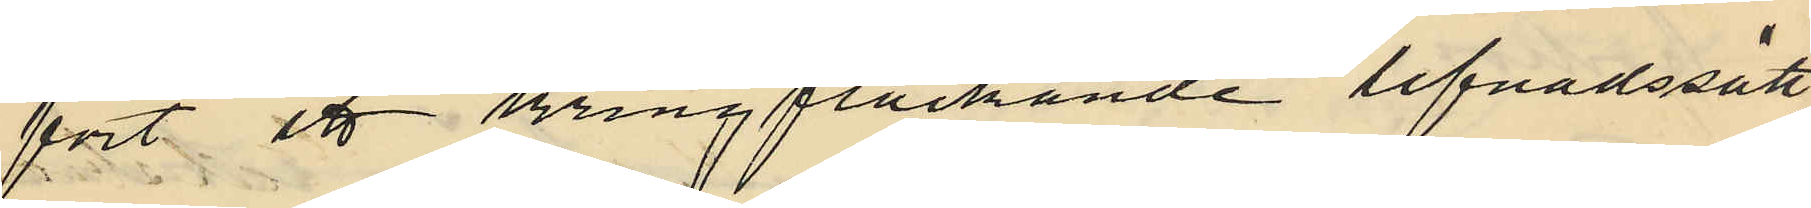fört ett kringflackande lefnadssätt
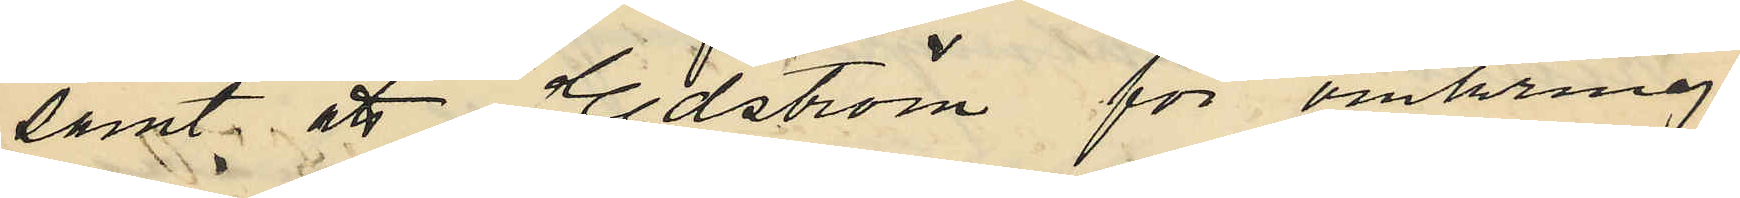samt att Edström för omkring
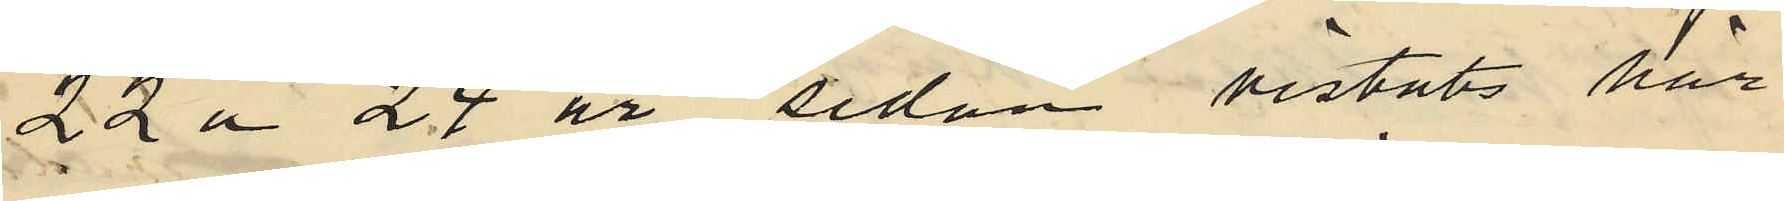22 á 24 år sedan vistats här
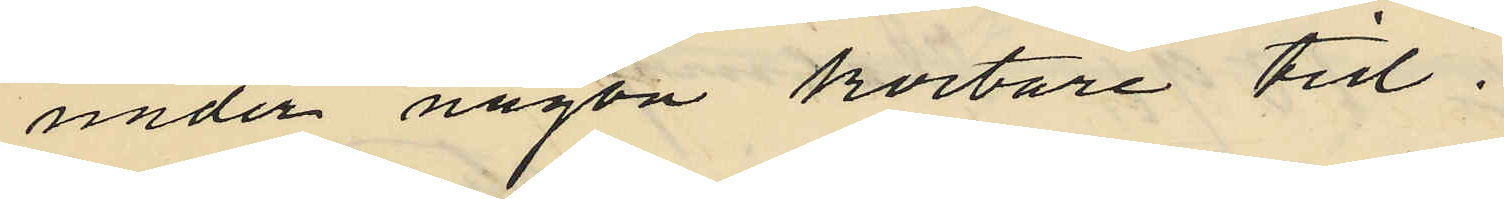under någon kortare tid.
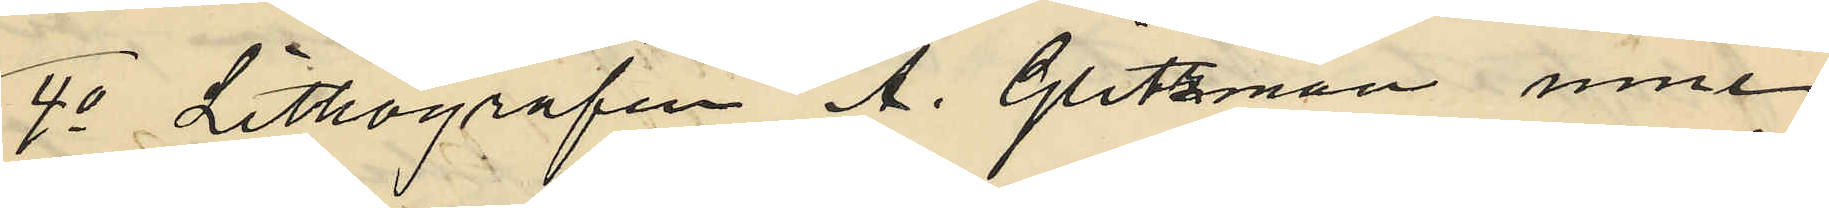4o Lithografen A. Glitzman inne¬
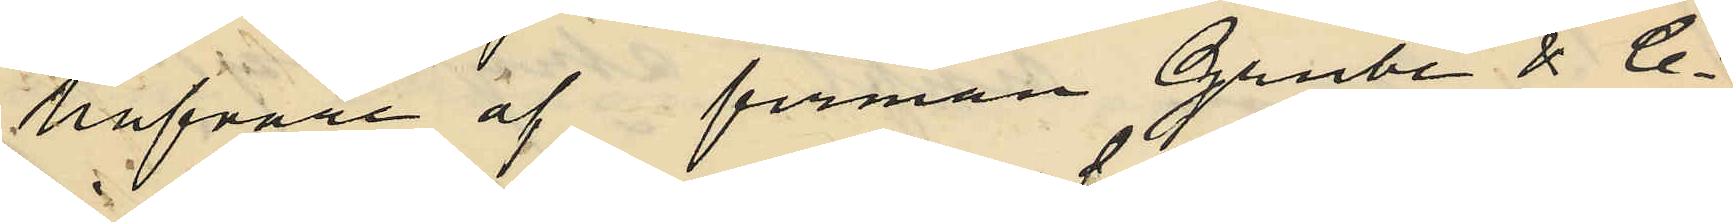hafvare af firman Grube & Co
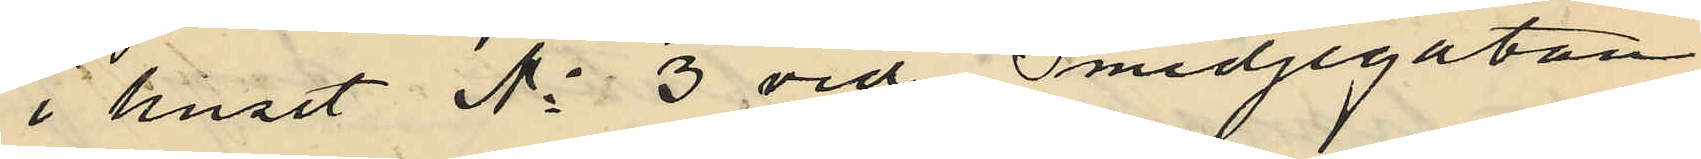i huset No 3 vid Smedjegatan
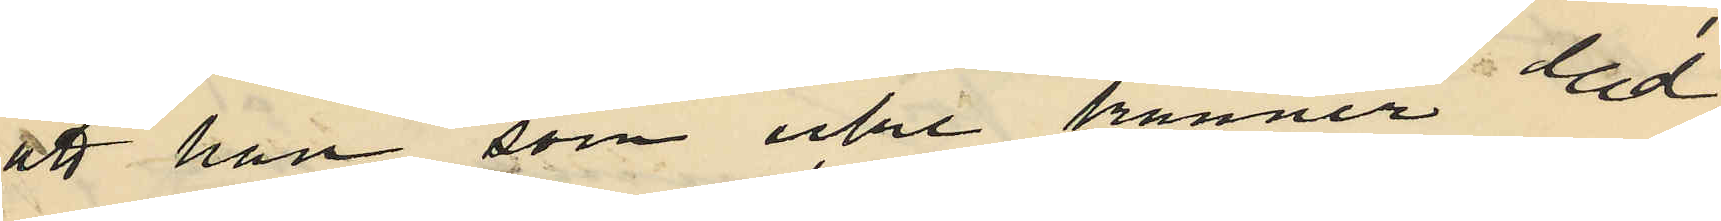att han som icke känner Ed¬
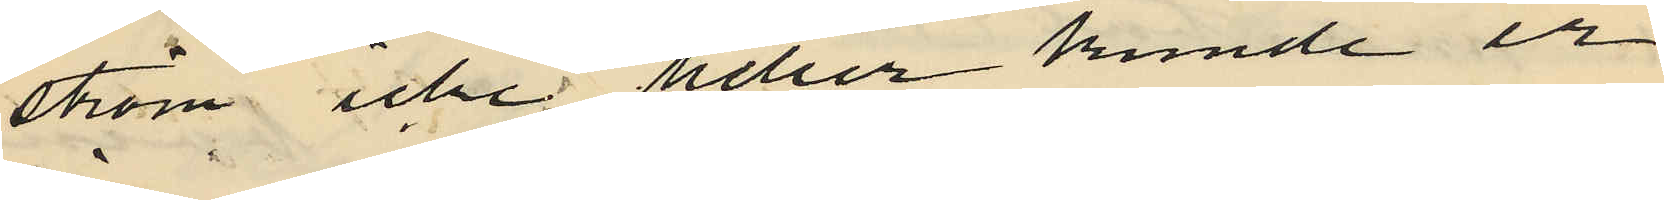ström icke heller kunde er¬
